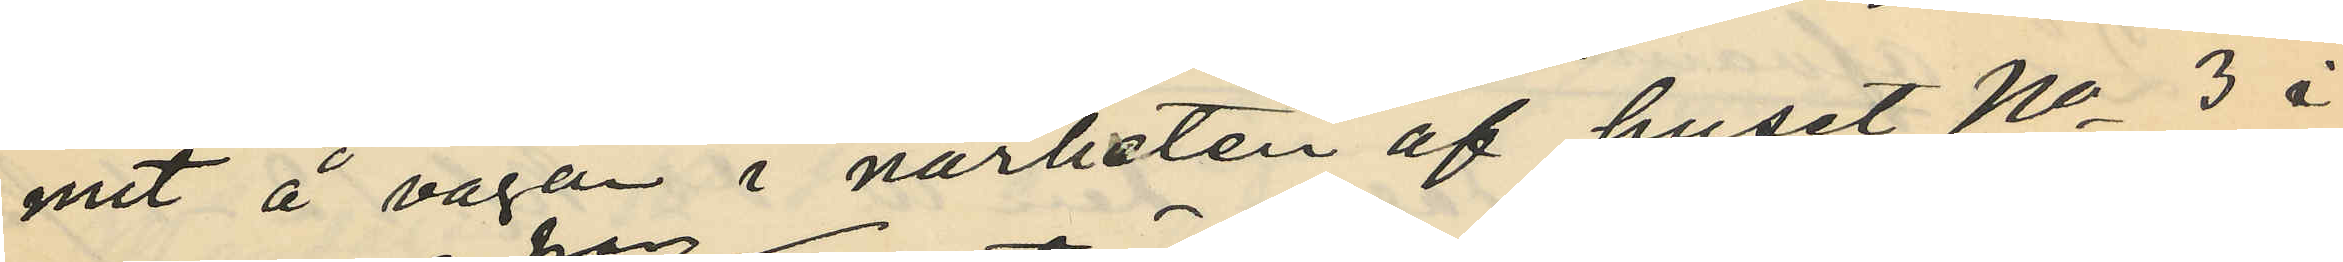mit å vägen i närheten af huset No 3 i
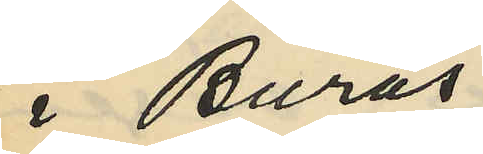i Burås
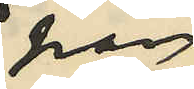han
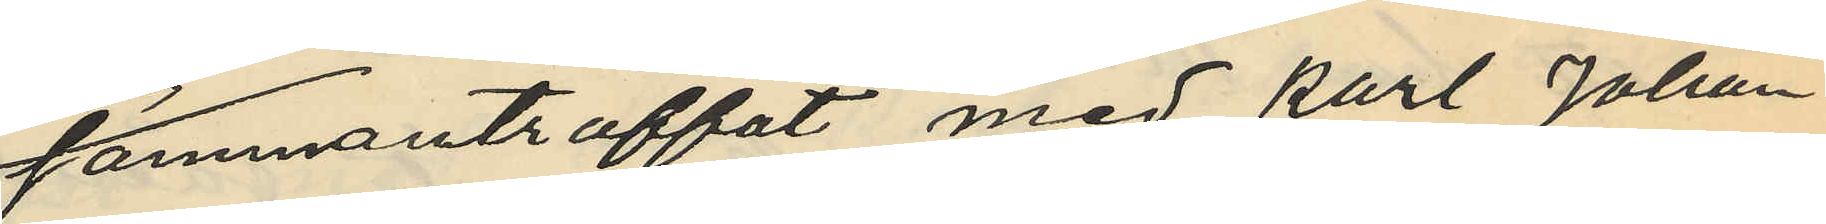sammanträffat med Karl Johan
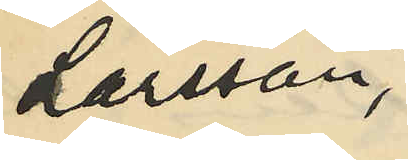Larsson,
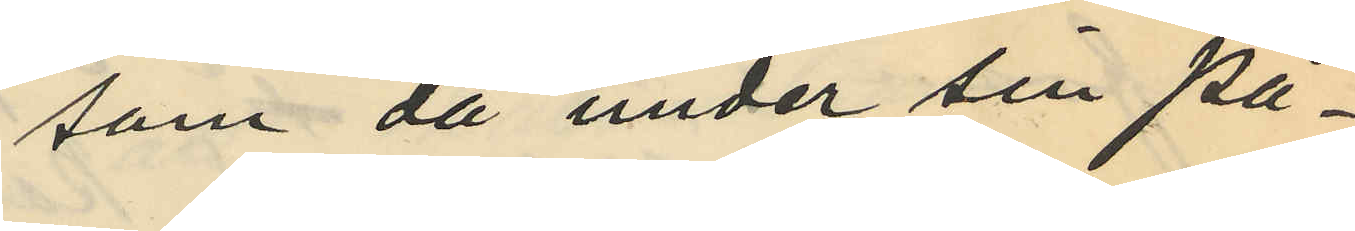som då under sin på¬
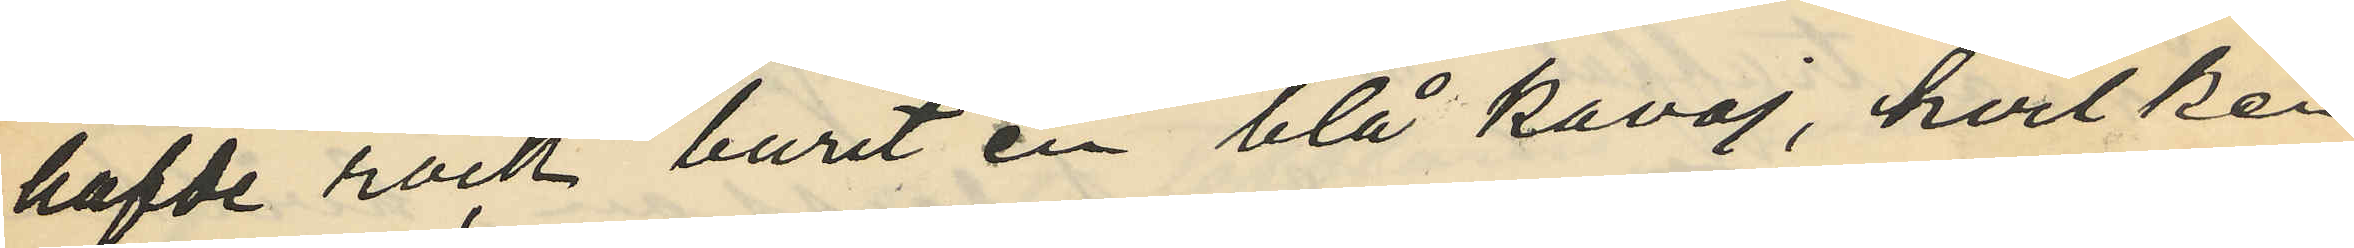hafde rock burit en blå kavaj, hvilken
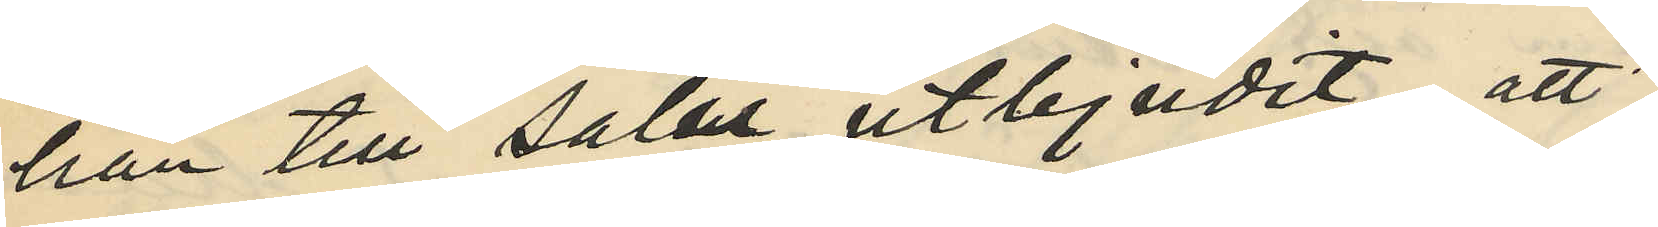han till salu utbjudit; att
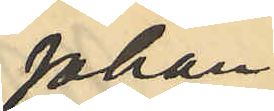Johan
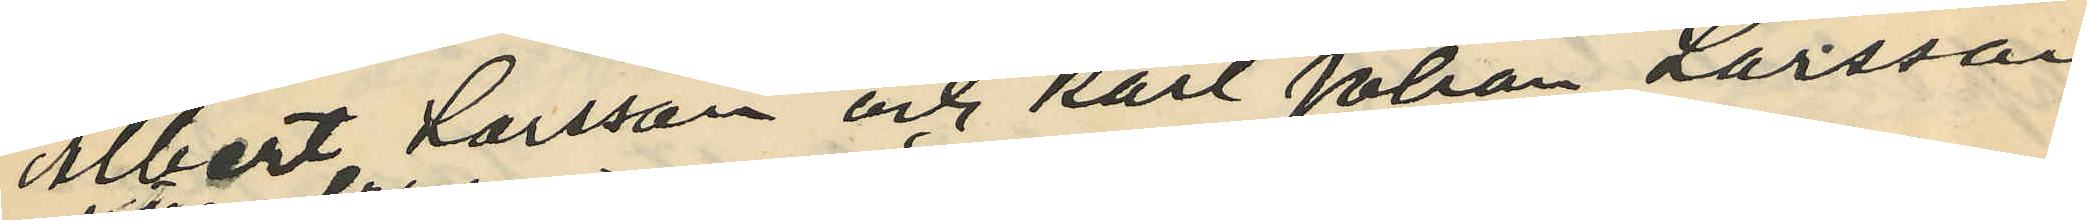Albert Larsson och Karl Johan Larsson
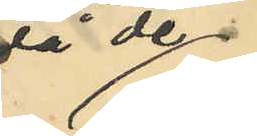då de
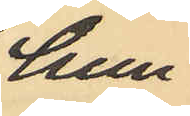hun¬
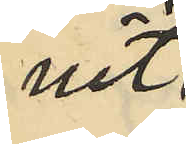nit
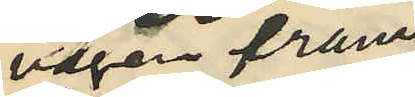vägen fram
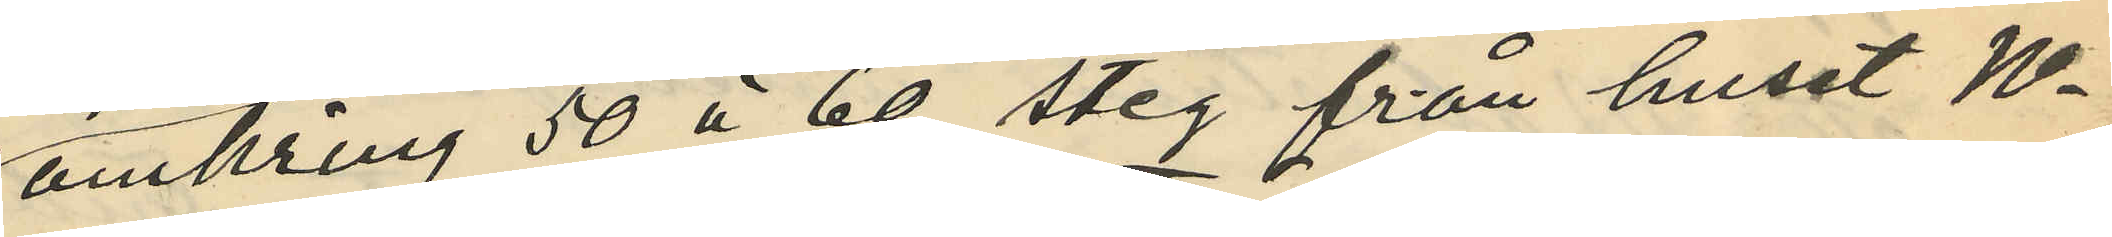omkring 50 à 60 steg från huset No
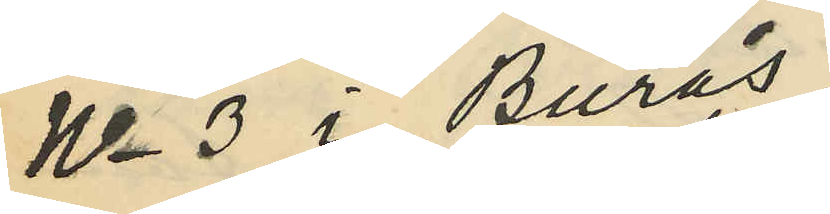No 3 i Burås,
